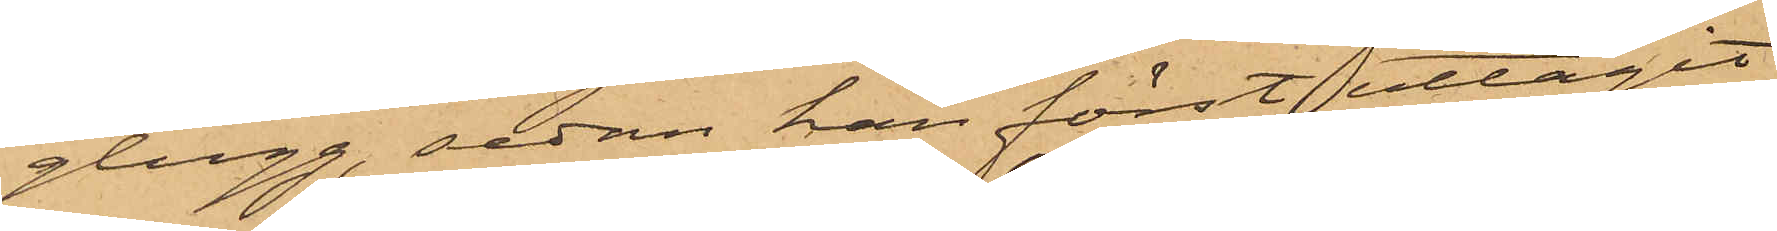glugg, sedan han först uttagit
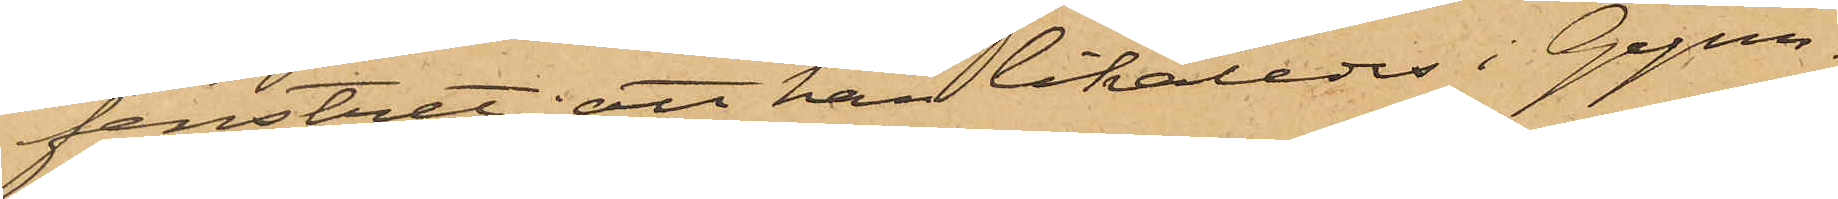fenstret; att han likaledes i Gym¬
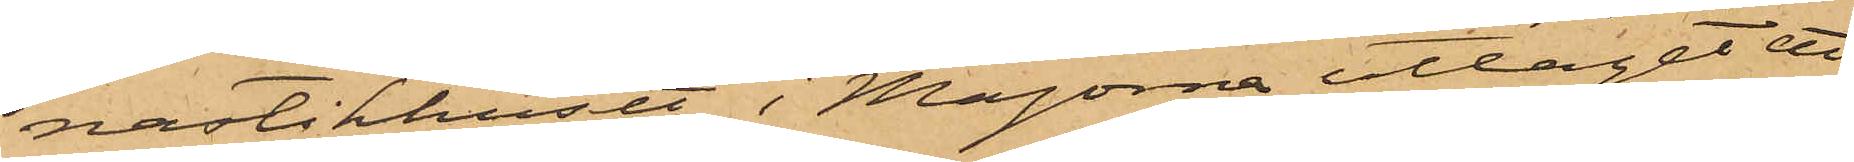nastikhuset i Majorna uttagit ett
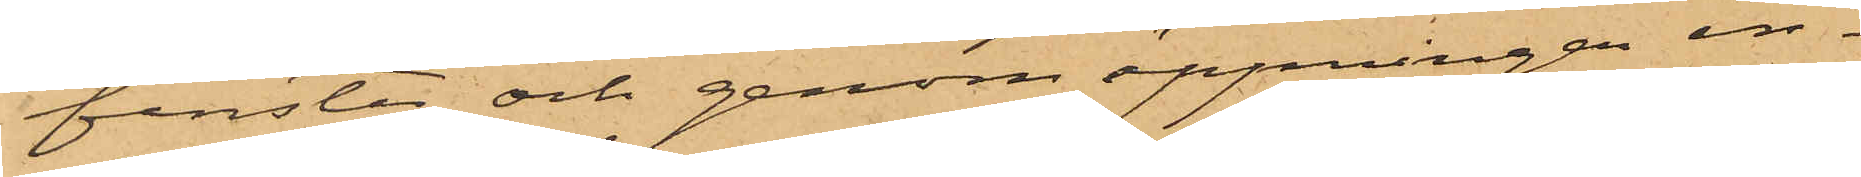fenster och genom öppningen in¬
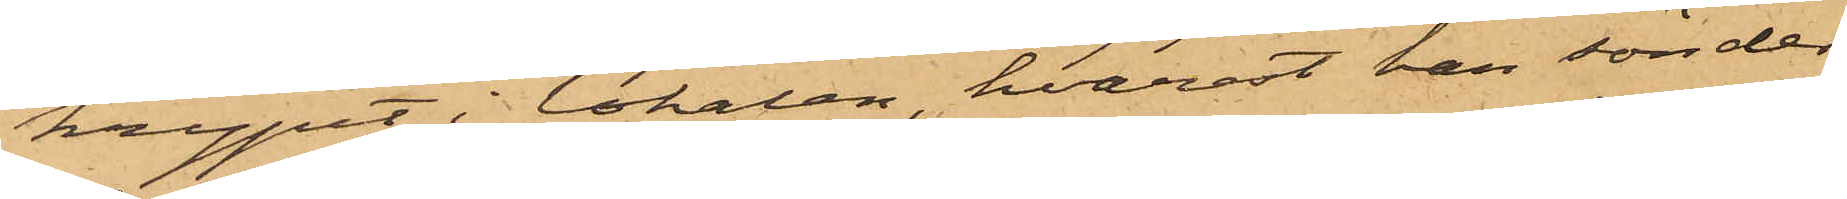krypit i lokalen hvarest han sönder¬
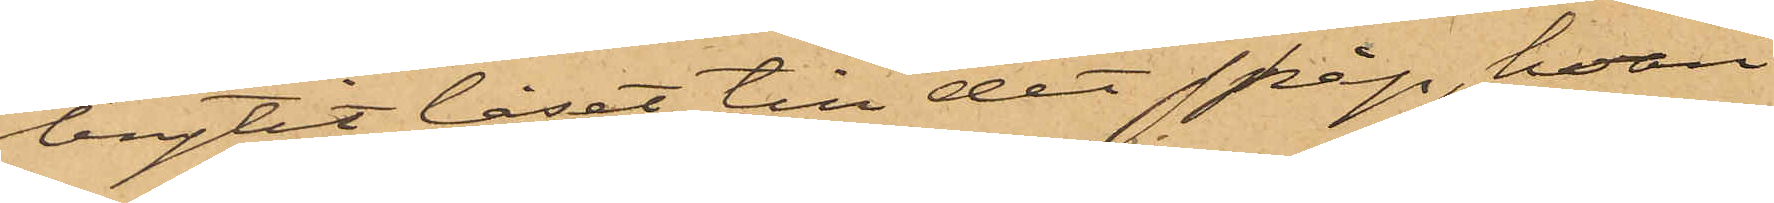brytit låset till det skåp, hvari
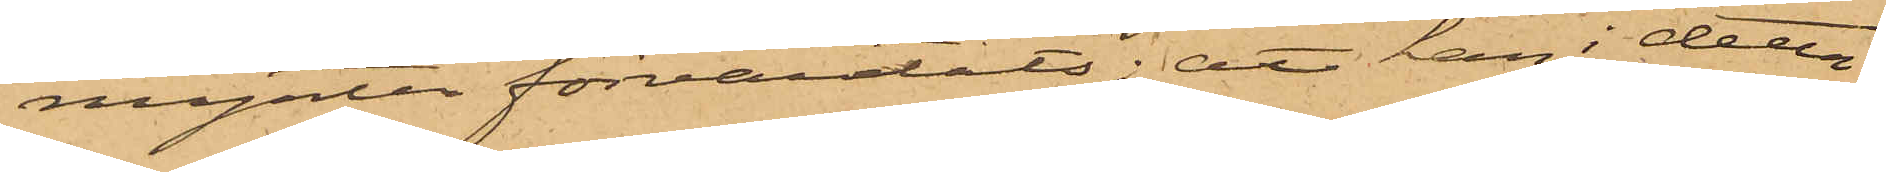mynten förvaratats; att han i detta
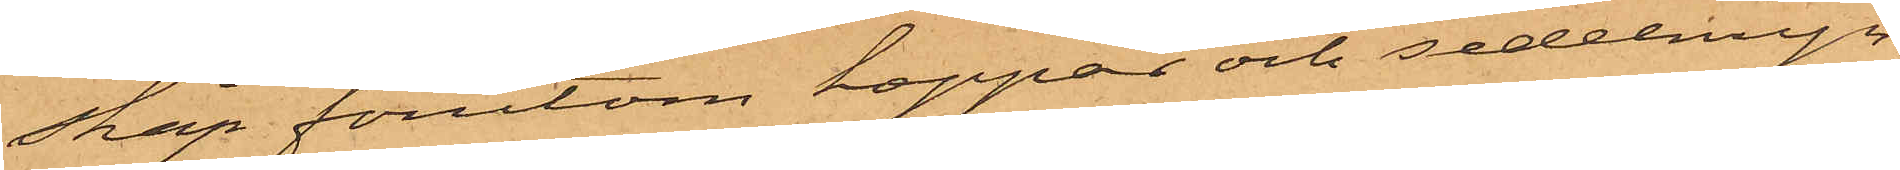skåp förutom koppar och sedelmyn¬
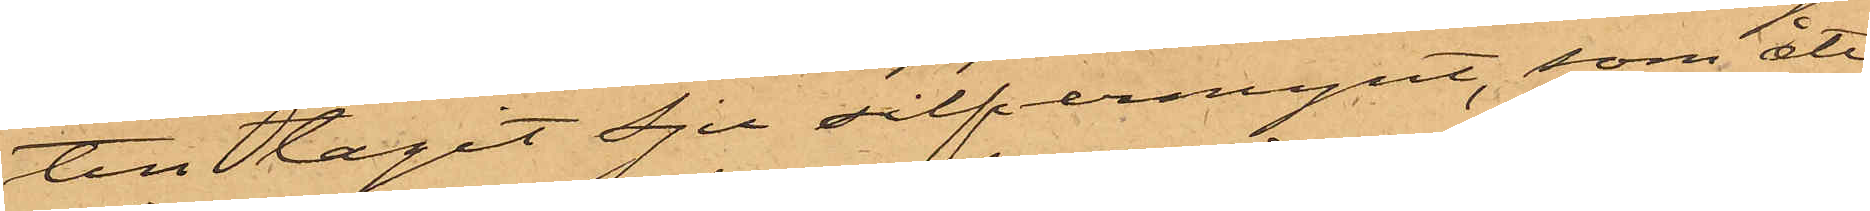ten tagit Sju silfvermynt, som åter¬
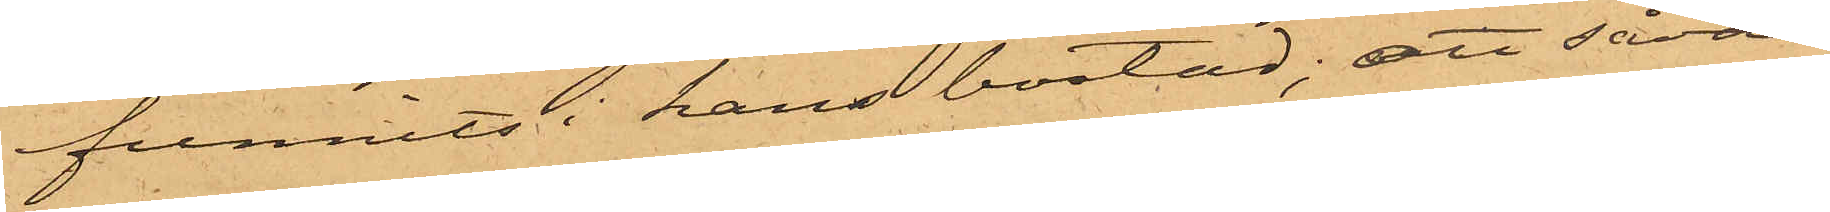funnits i hans bostad; att såväl
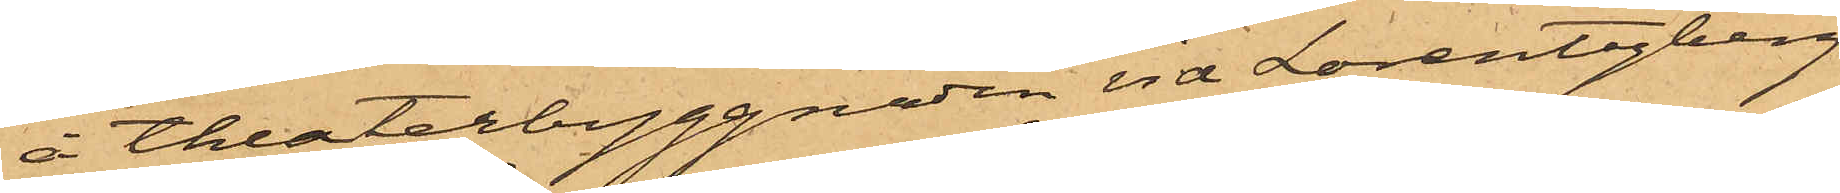å theaterbyggnaden vid Lorentzberg
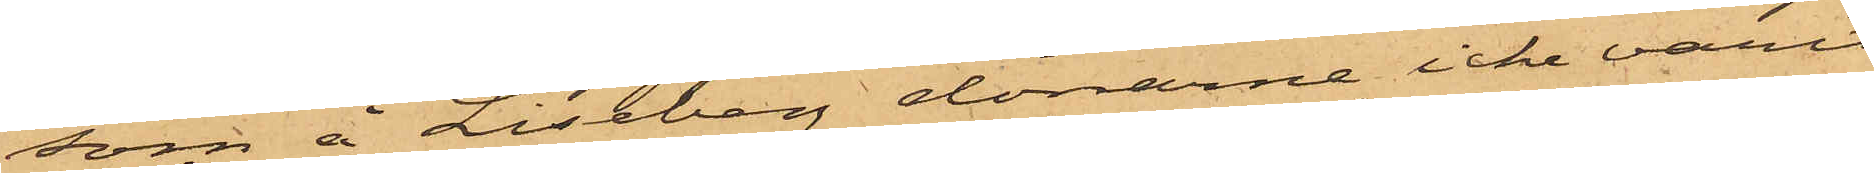som å Liseberg dörrarne icke varit
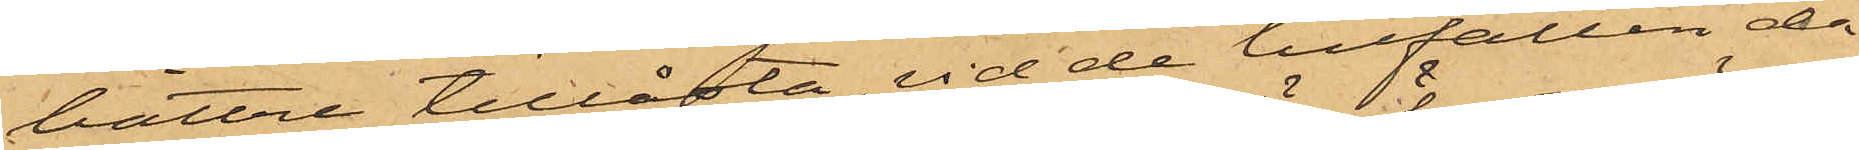bättre tillåsta, vid de tillfällen då
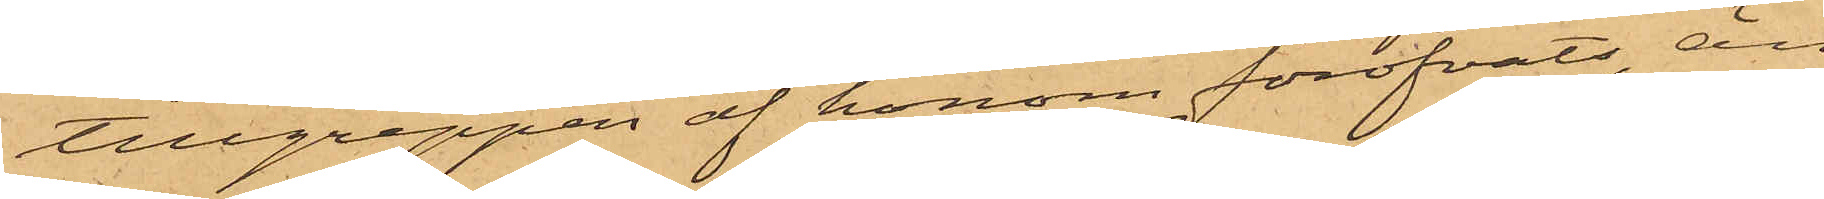tillgreppen af honom föröfvats, än
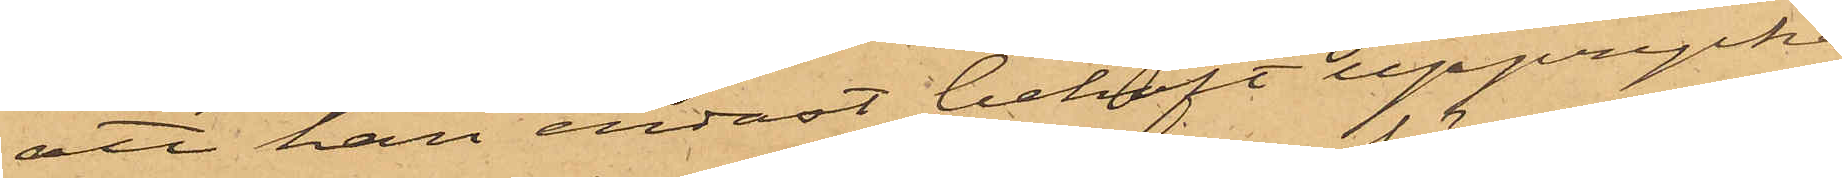att han endast behöft upprycka
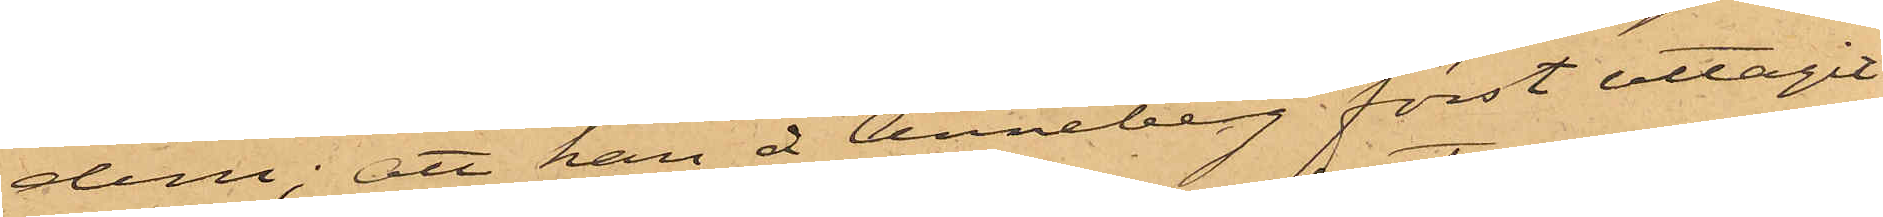dem; att han å Anneberg först uttagit
